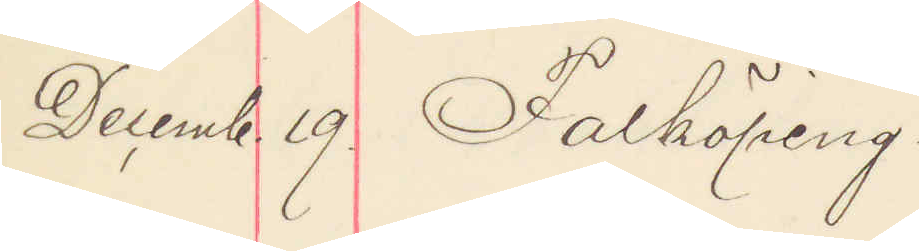Decemb 19. Falköping.
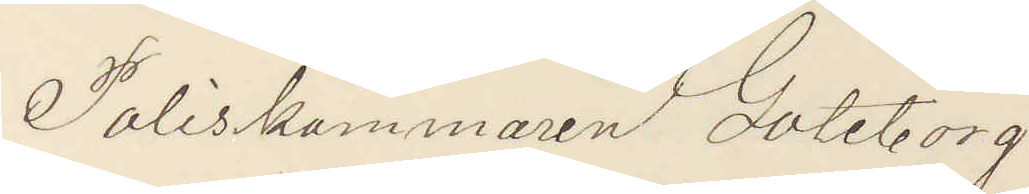Poliskammaren Göteborg.
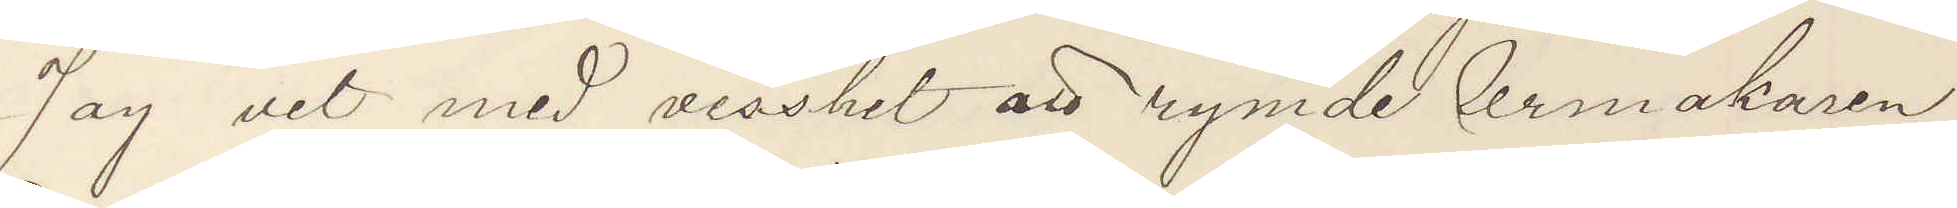Jag vet med visshet att rymde Urmakaren
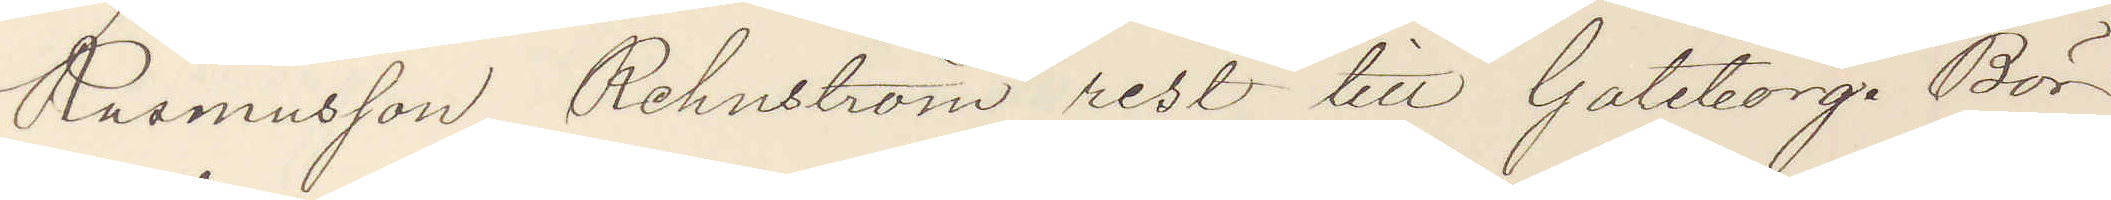Rasmusson Rehnström rest till Göteborg. Bör
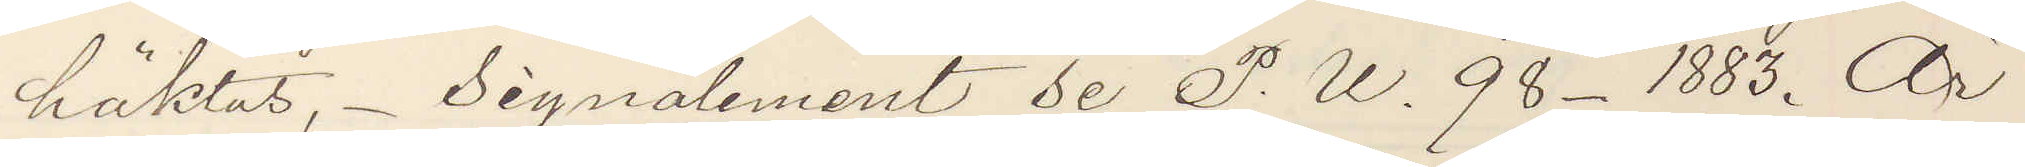häktas. Signalement se P. U. 98 - 1883. Är
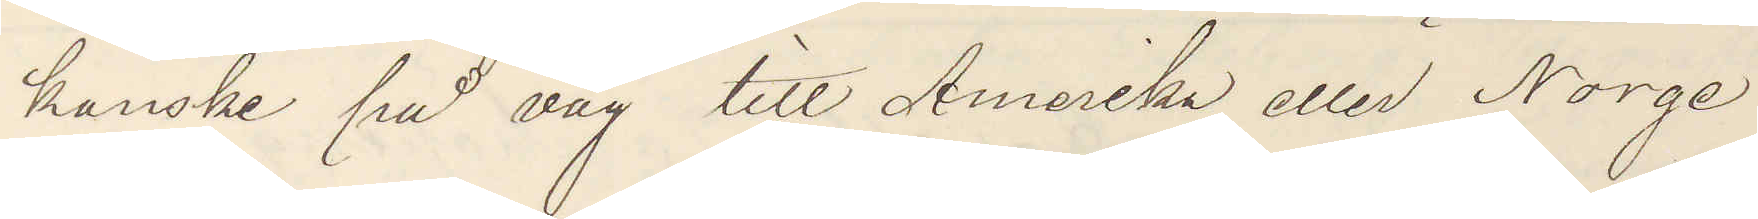kanske på väg till Amerika eller Norge
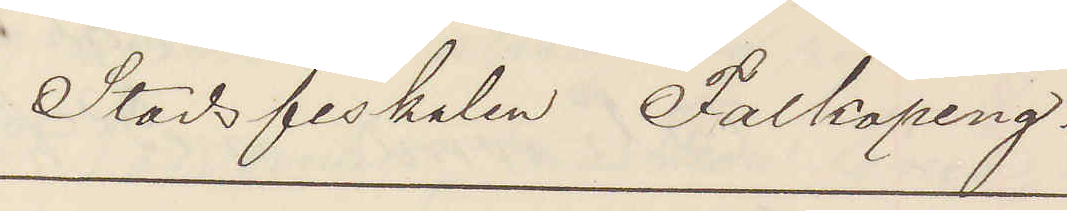Stadsfiskalen Falköping.
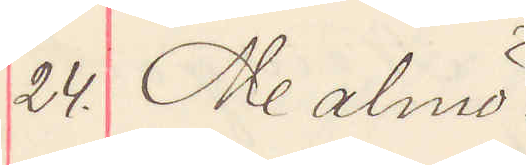24. Malmö
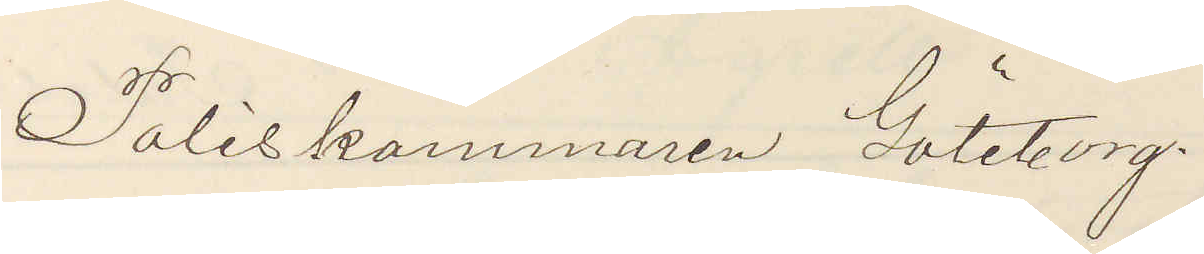Poliskammaren Göteborg.
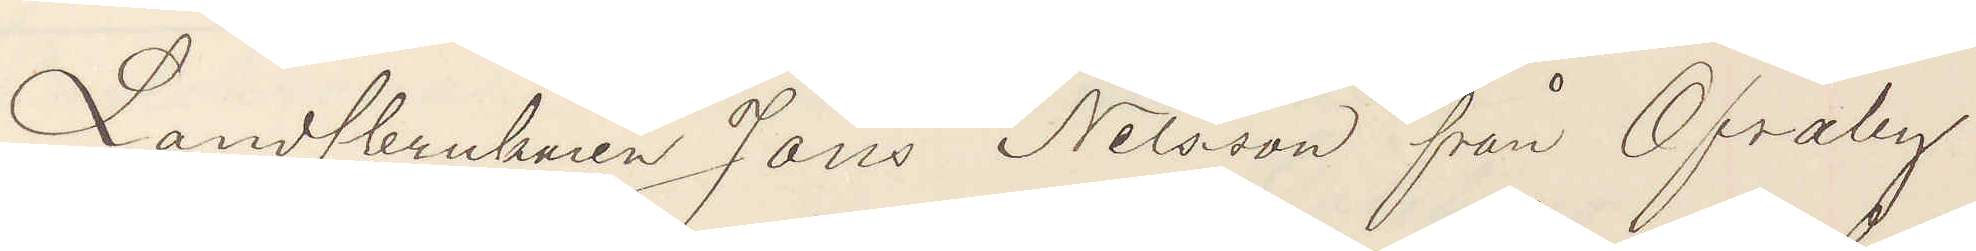Landtbrukaren Jöns Nilsson från Öfraby
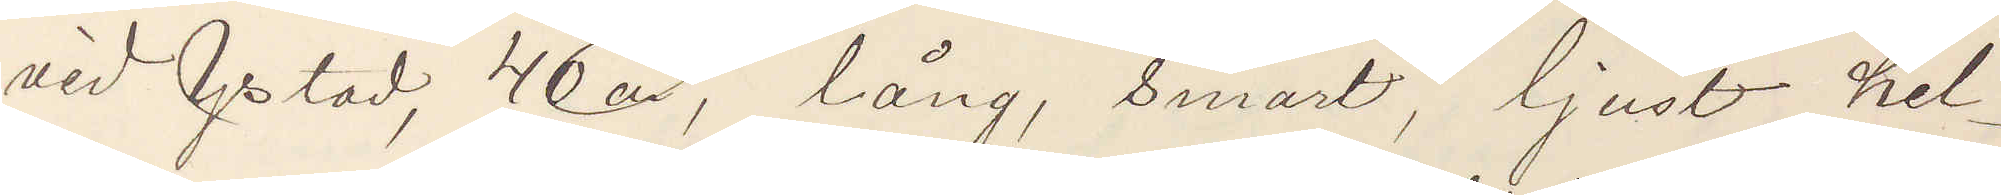vid Ystad, 40 år, lång, smärt, ljust hel¬
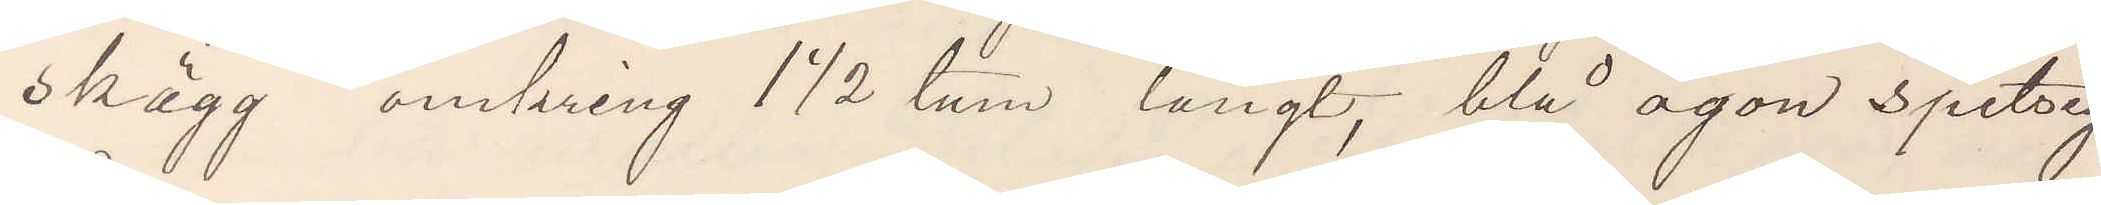skägg omkring 1 ½ tum långt, blå ögon spetsig
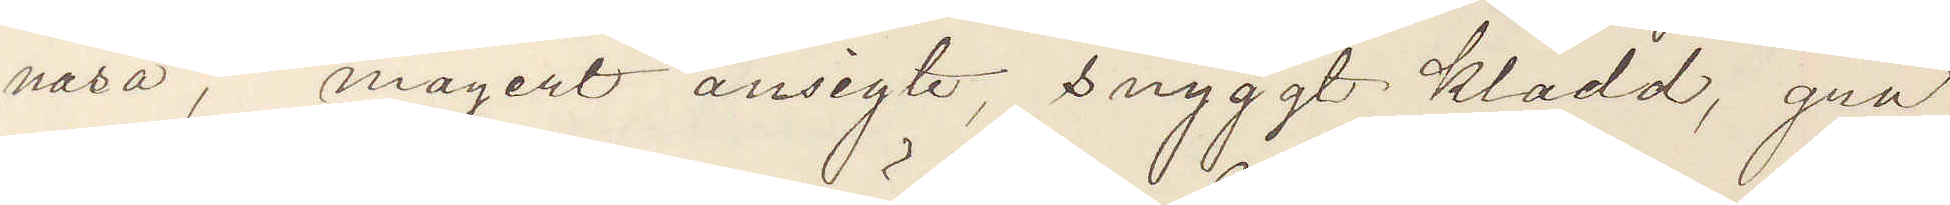näsa, magert ansigte, snyggt klädd, grå
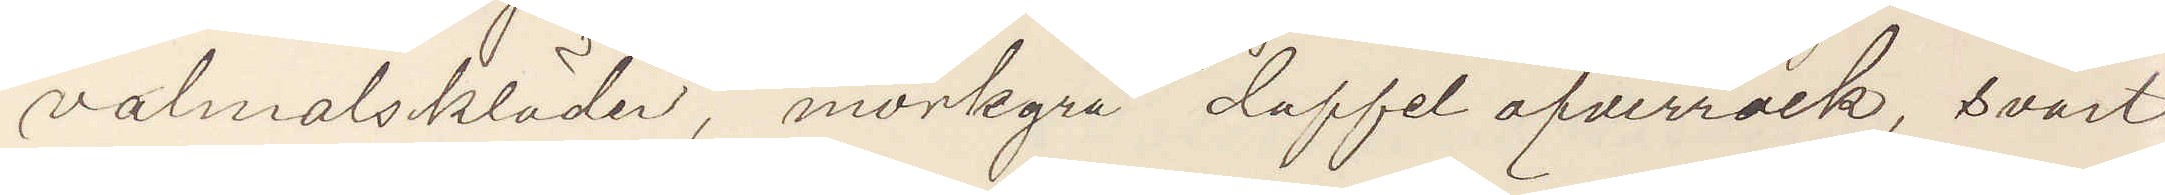valmalskläder, mörkgrå doffel öfverrock, svart
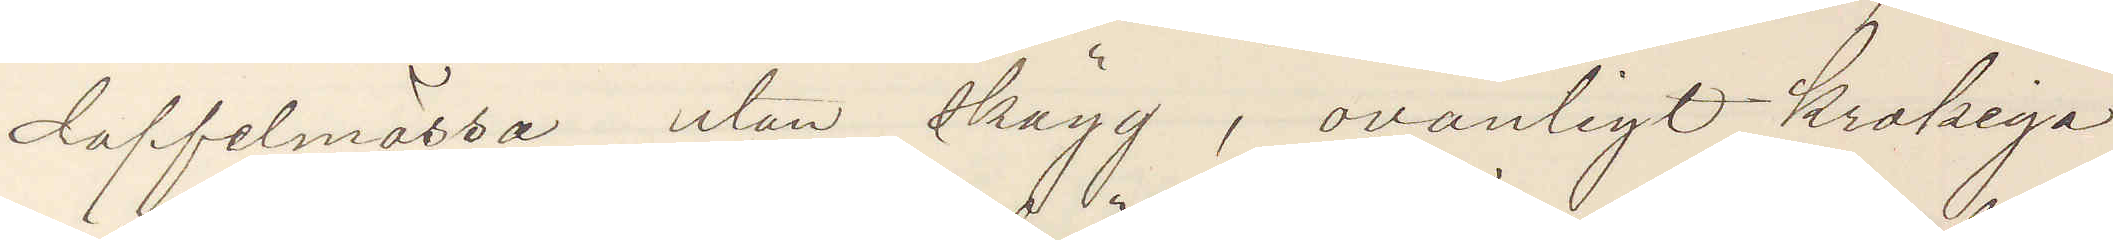doffelmössa utan skägg, ovanligt krokiga
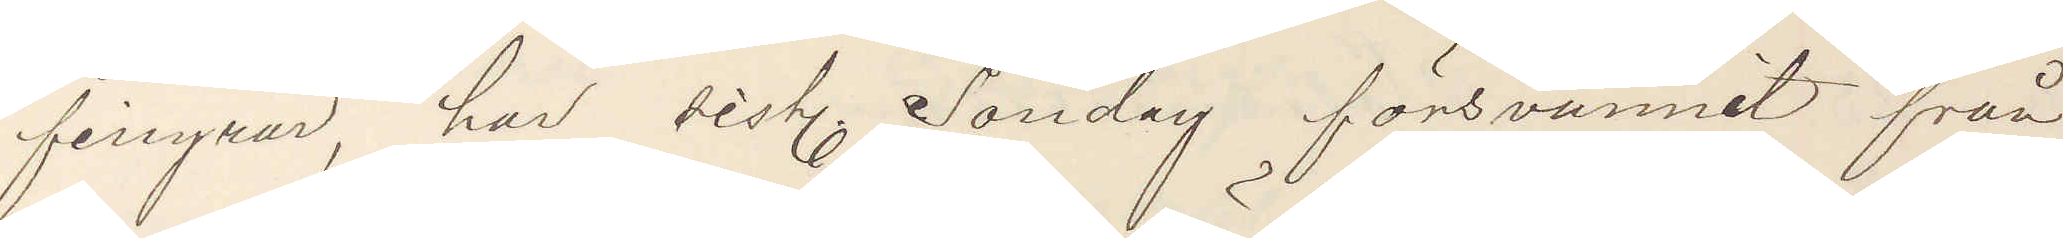fingrar, har sist. Söndag försvunnit från
